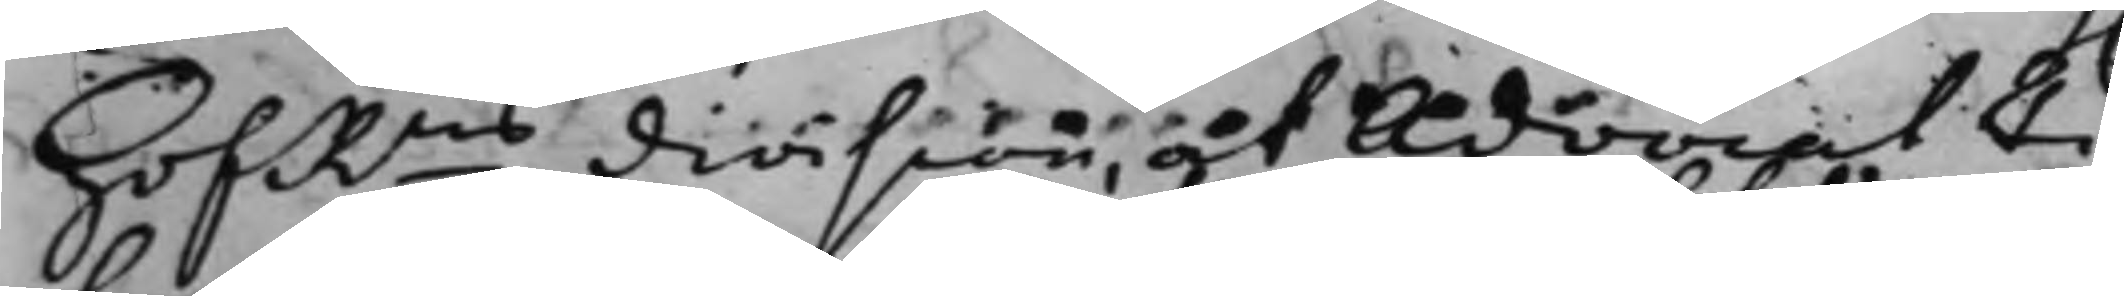HofRns division, at Advocat Fi¬
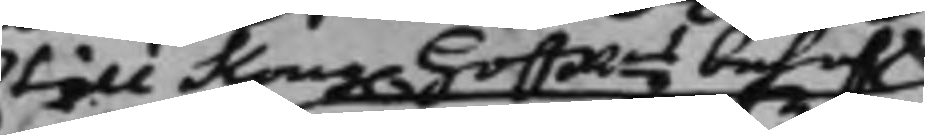till Kong. HoffRns behof
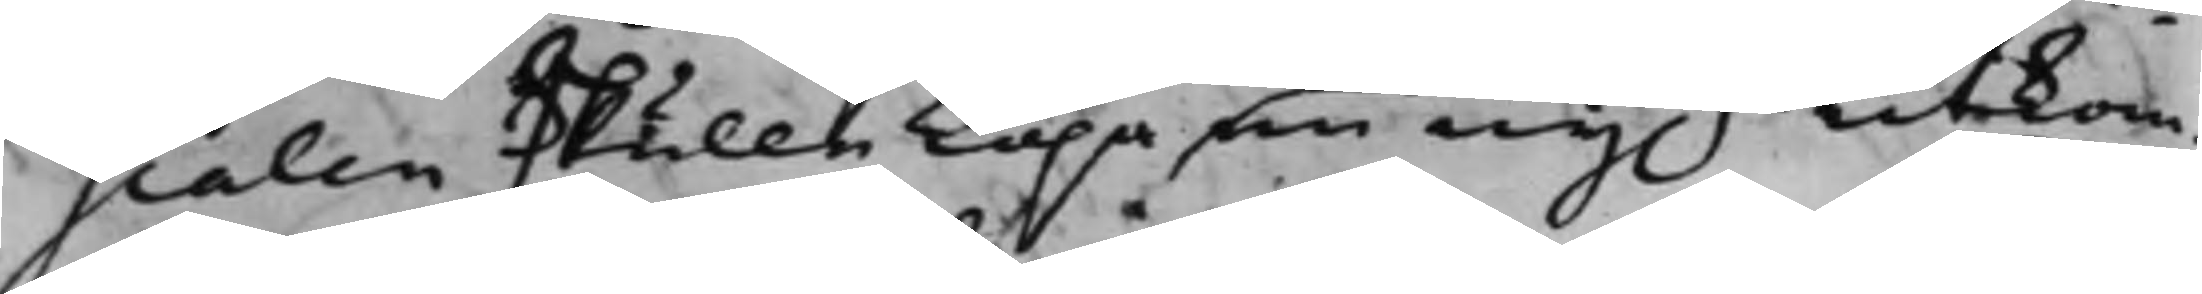scalen skulle köpa en ny.n hitkom¬
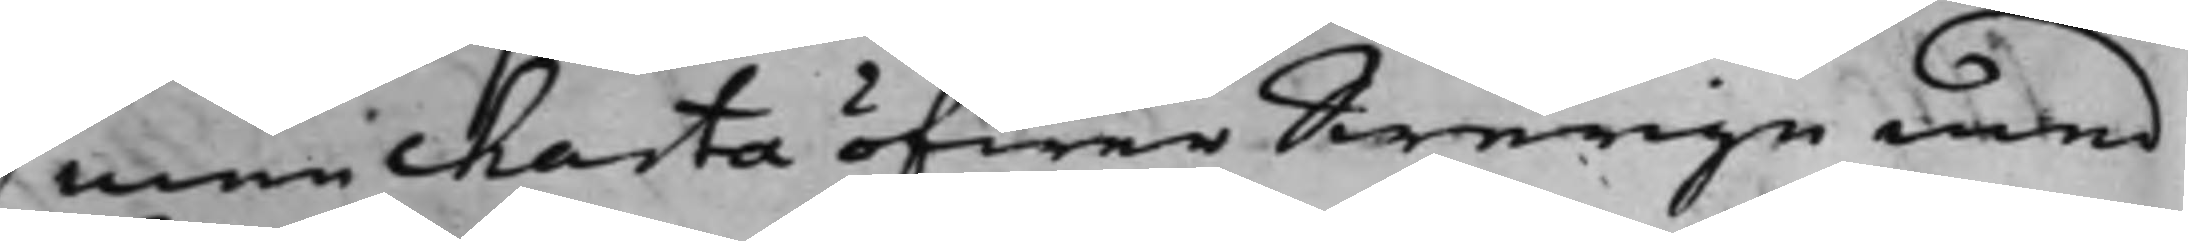men Charta öfwer Swerige med
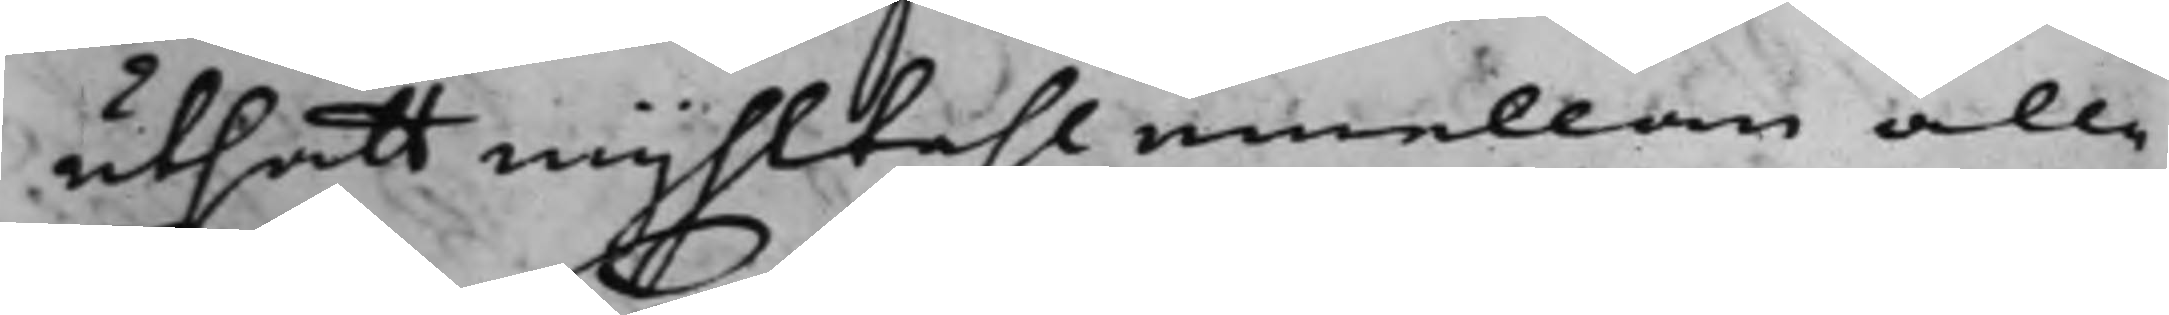utsatt mijhltahl emellan alle
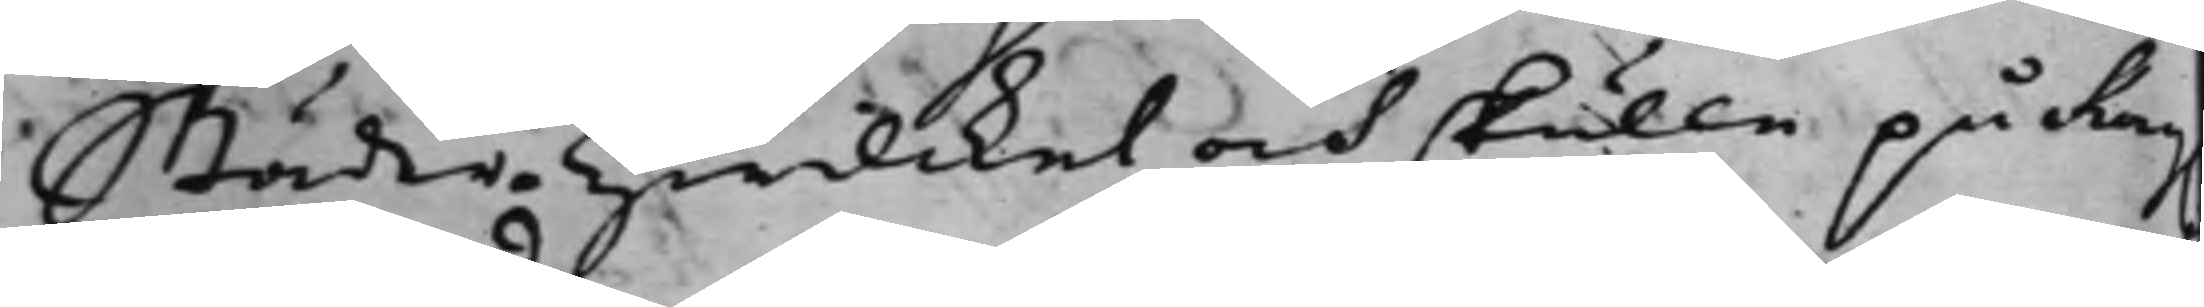Städer. Hwilcket och skulle på Kong.
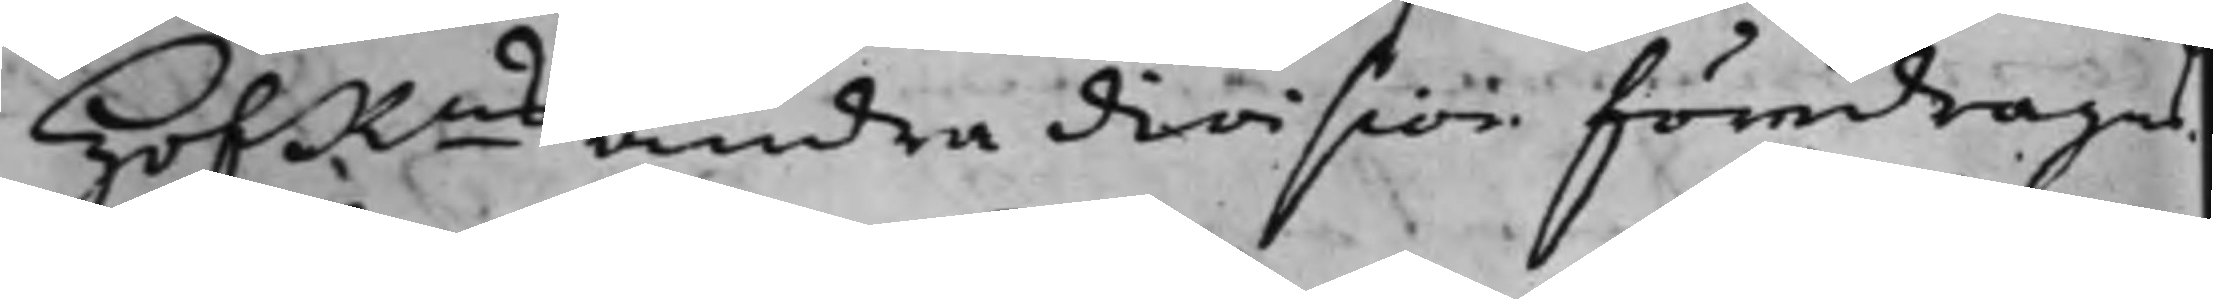HofRns andra division föredragas.
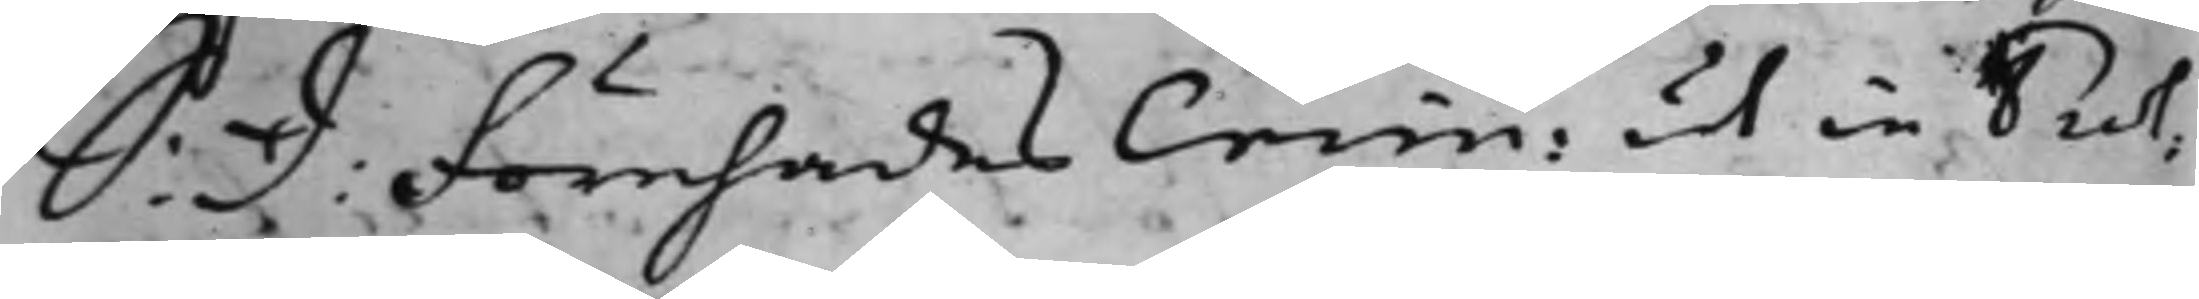S: D: Förehades Crim: ut in Prot:
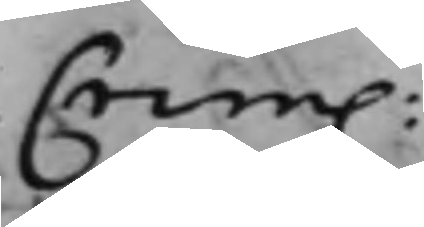Crim.
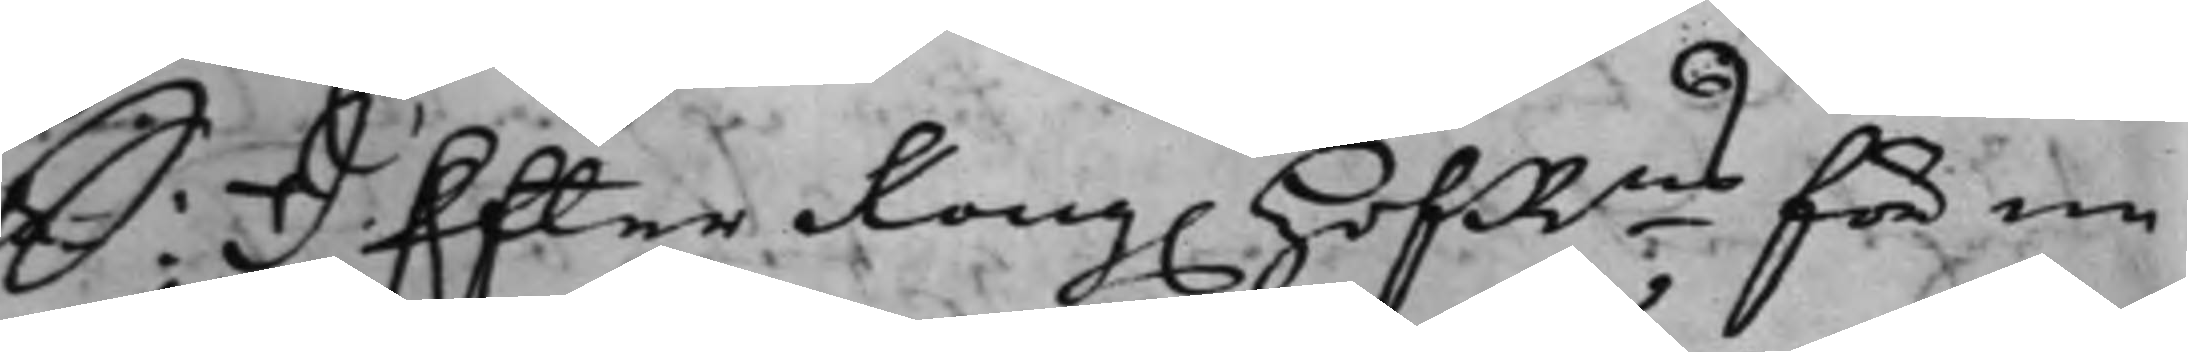S: D: Efter Kong. HofRns för en
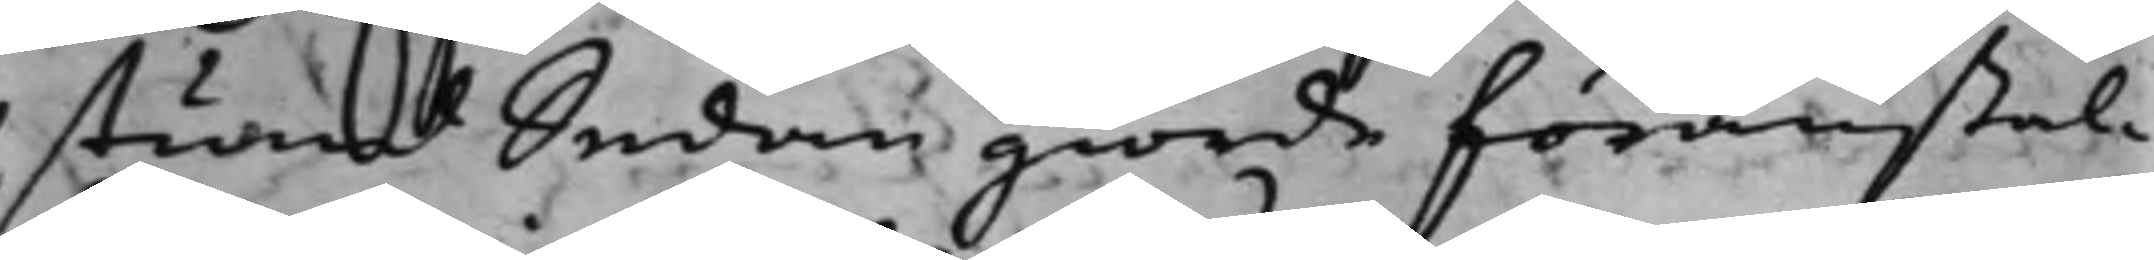stund Sedan giorde föranstal¬
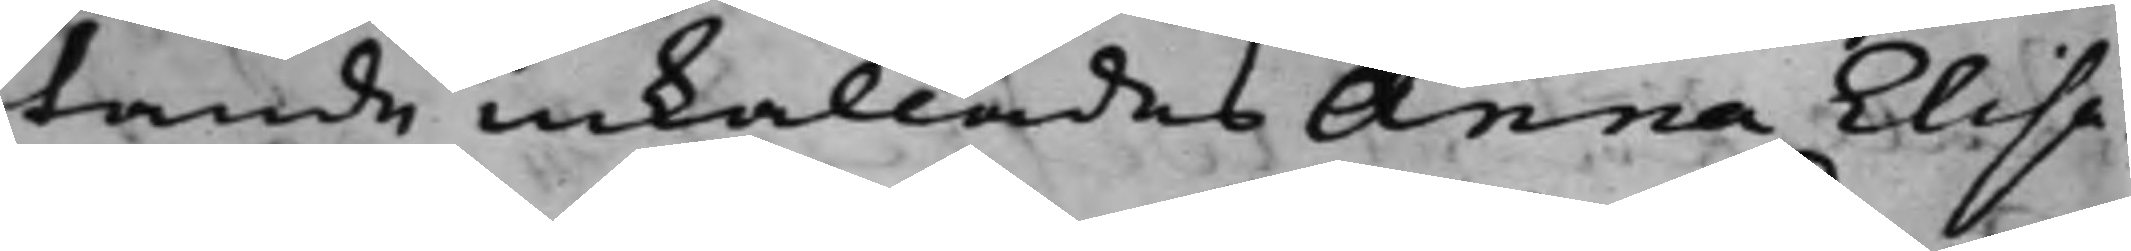tande inkallades Anna Elisa¬
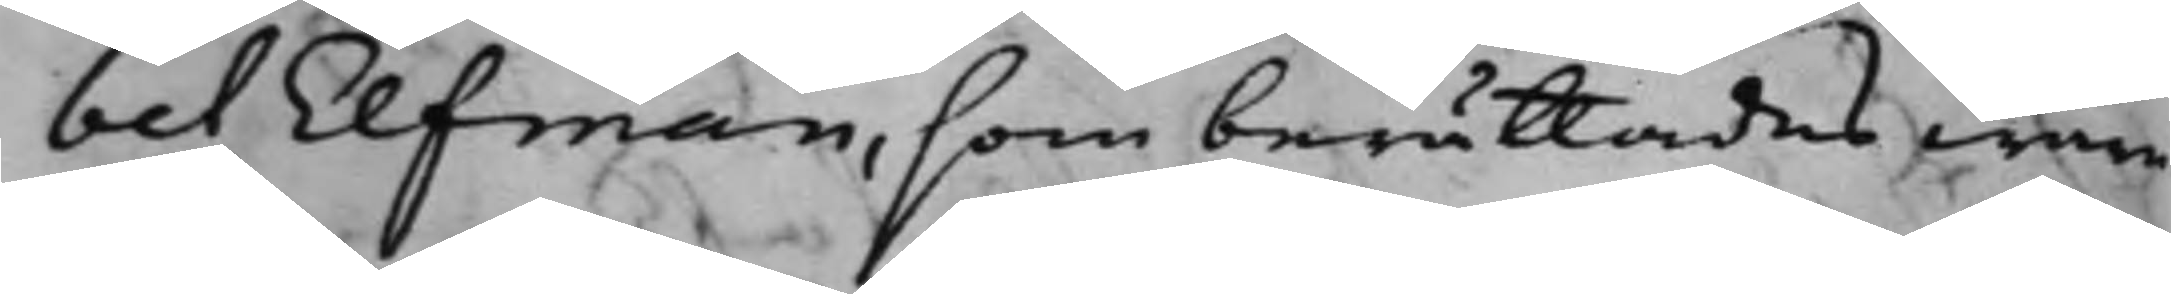bet Elfman, som berättades wara
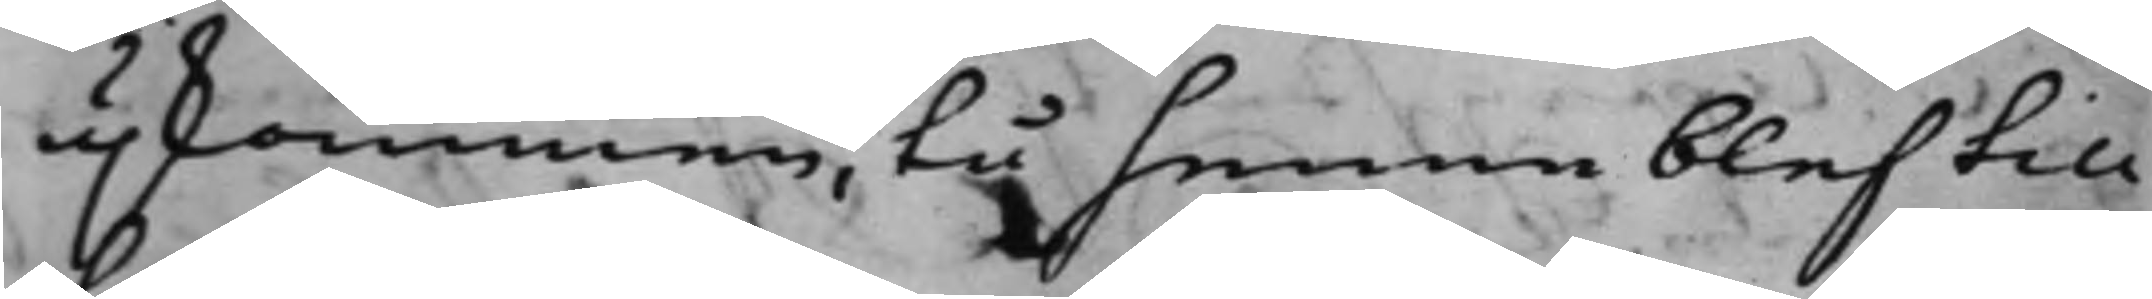upkommen, tå henne blef till¬
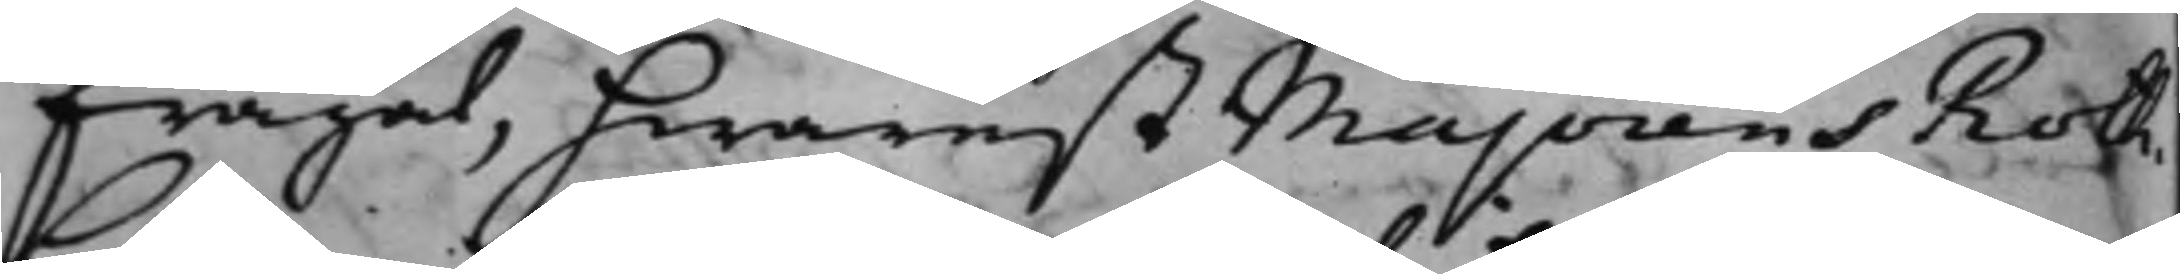frågat, hwarest Majorens Roth¬
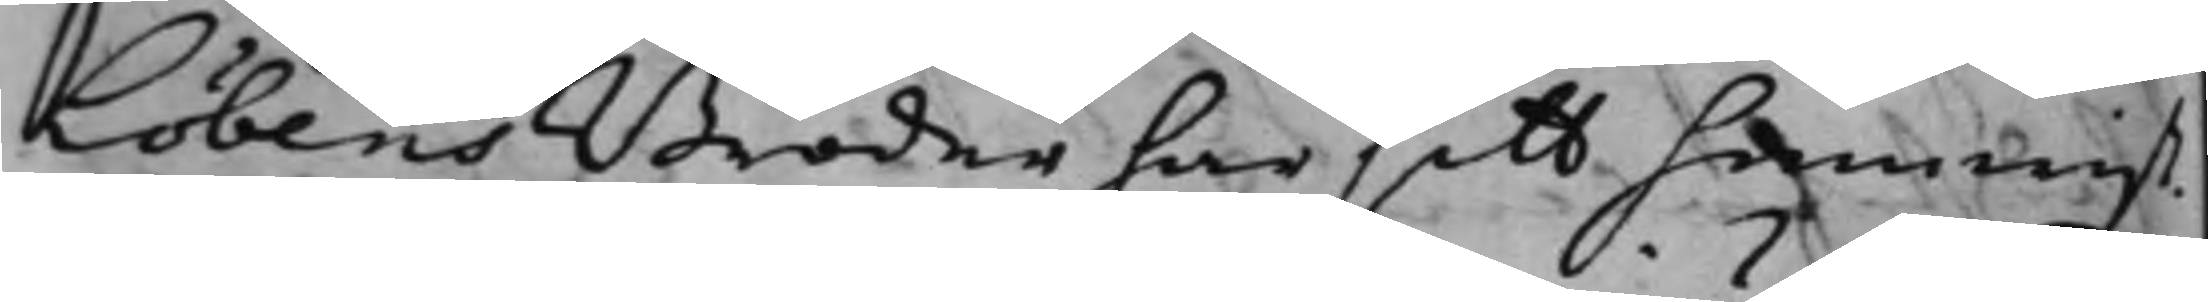Löbens Broder har sitt hemwist.
